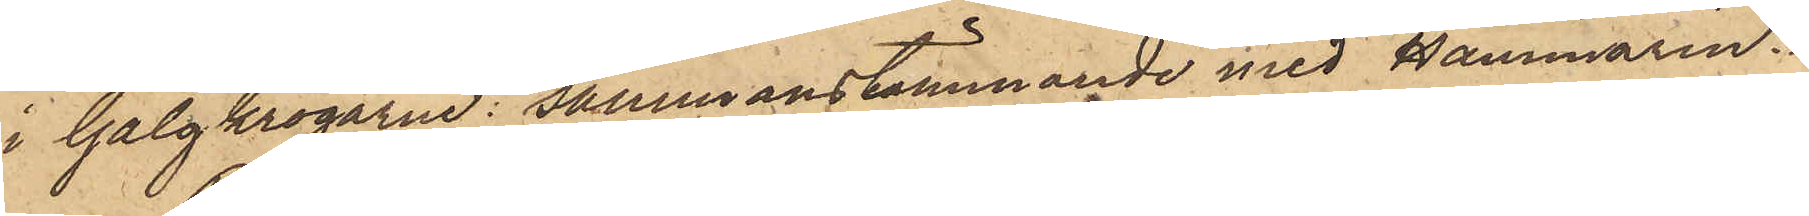i Galgkrogarne: sammanstämmande med Hammarin.
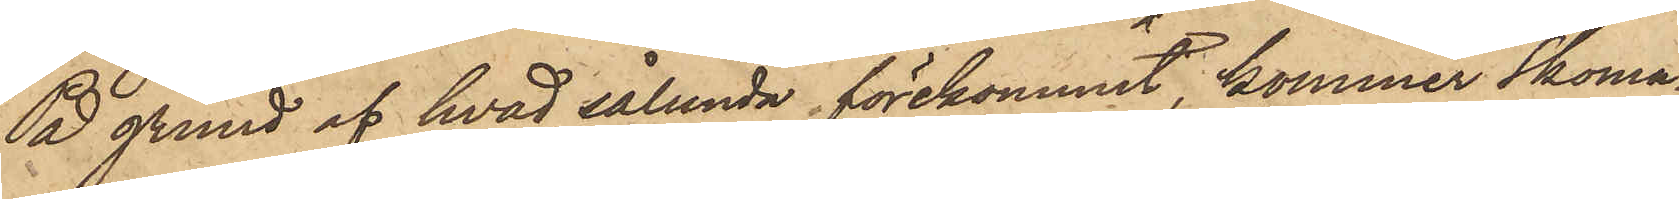På grund af hvad sålunda förekommit, kommer Skoma¬
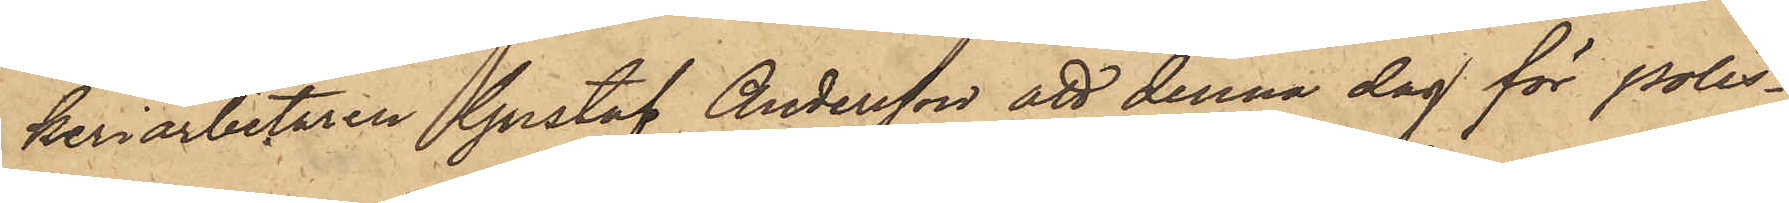keriarbetaren Gustaf Andersson att denna dag för Polis¬
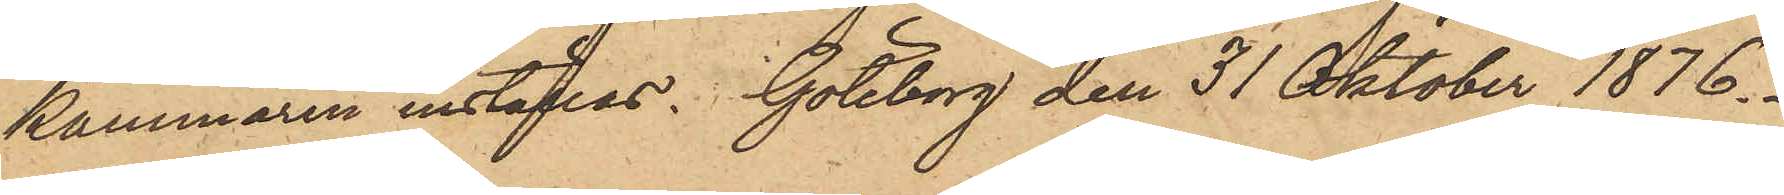kammaren inställas. Göteborg den 31 Oktober 1876.
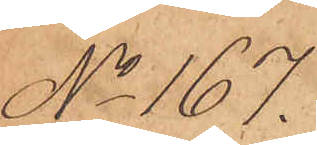No 167.
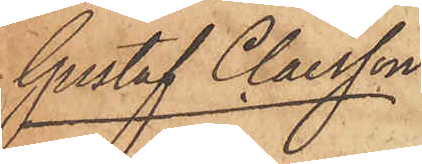Gustaf Claesson
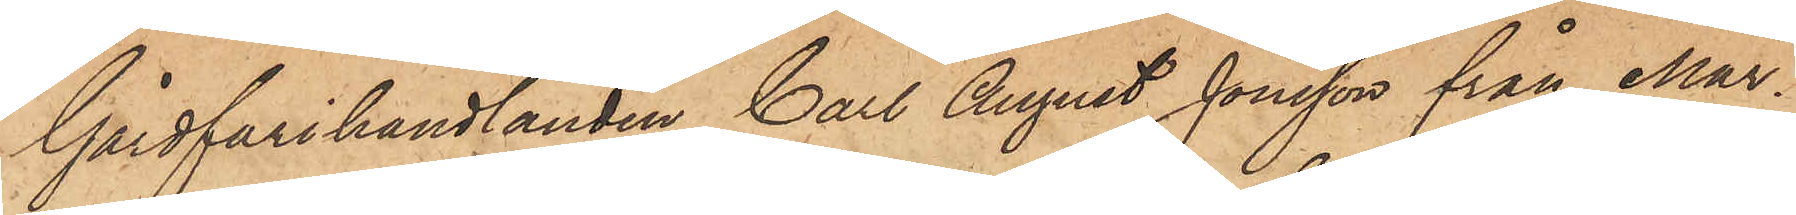Gårdfarihandlanden Carl August Jonsson från Mar¬
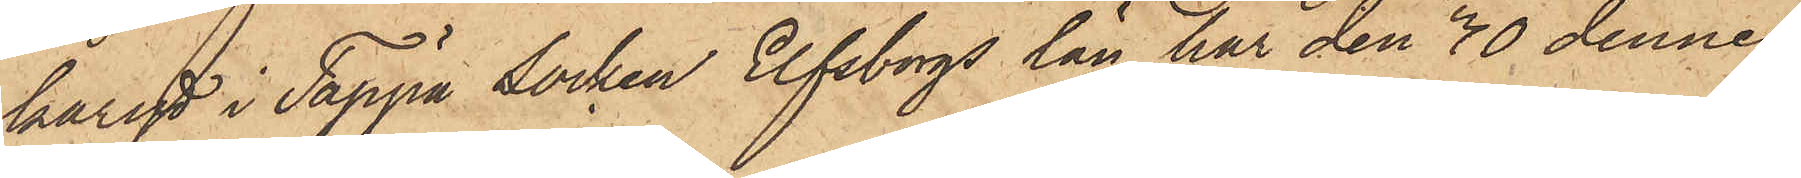karyd i Tappe socken Elfsborgs län har den 30 dennes
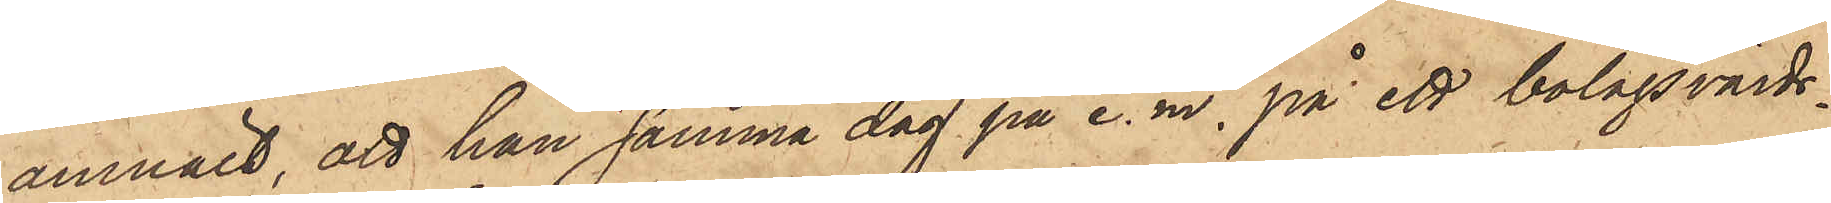anmält, att han samma dag på e. m., på ett bolagsvärds¬
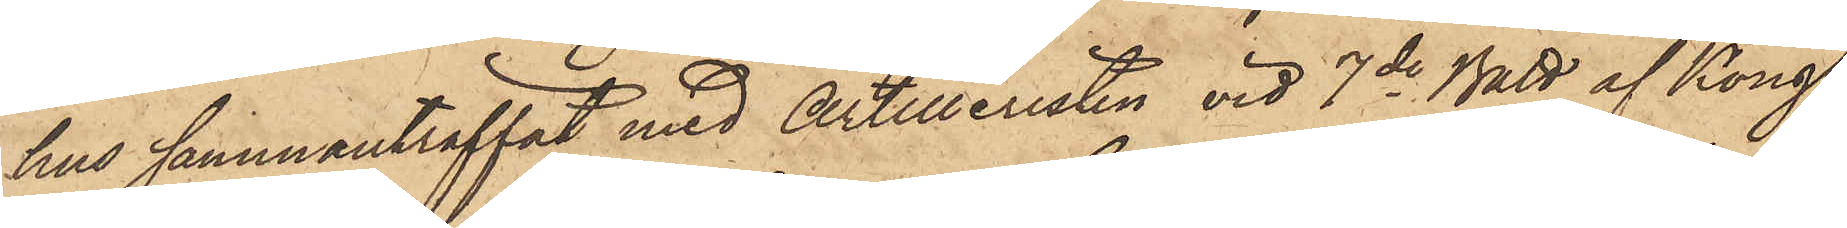hus sammanträffat med Artilleristen vid 7de Batt af Kongl.
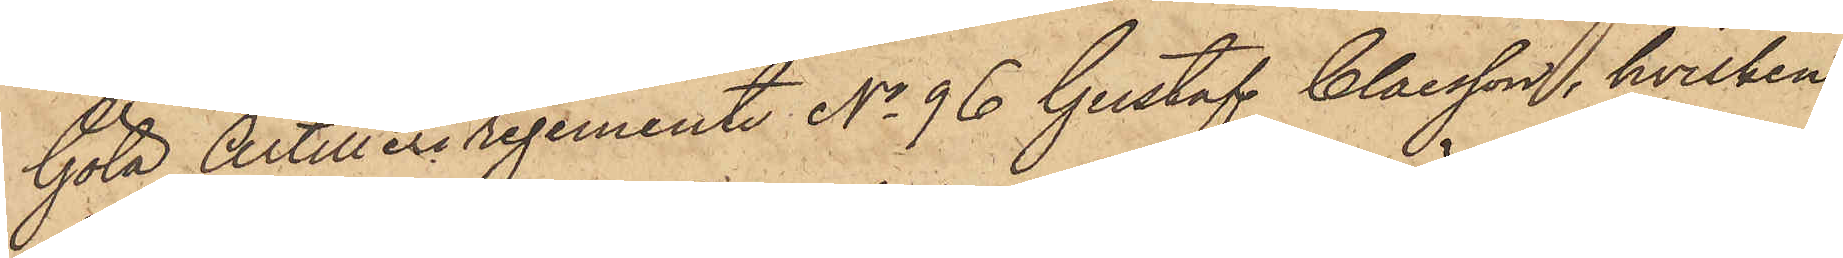Göta Artilleriregemente No 96 Gustaf Claesson, hvilken
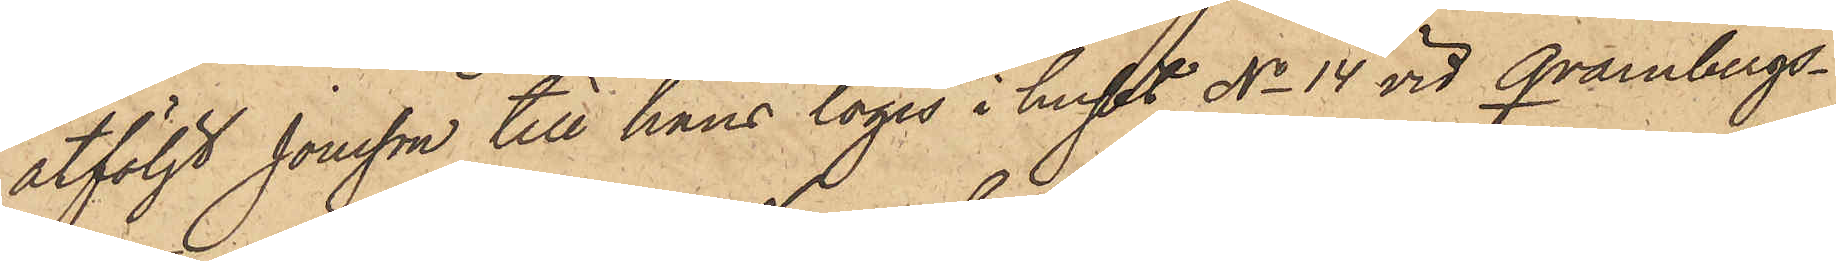åtföljt Jonsson till hans logis i huset No 14 vid Qvarnbergs¬
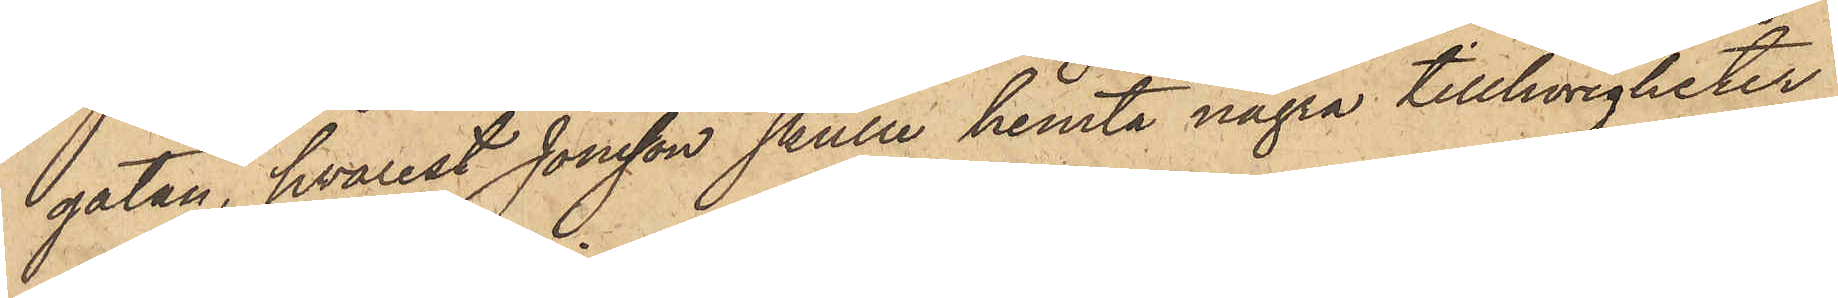gatan, hvarest Jonsson skulle hemta några tillhörigheter
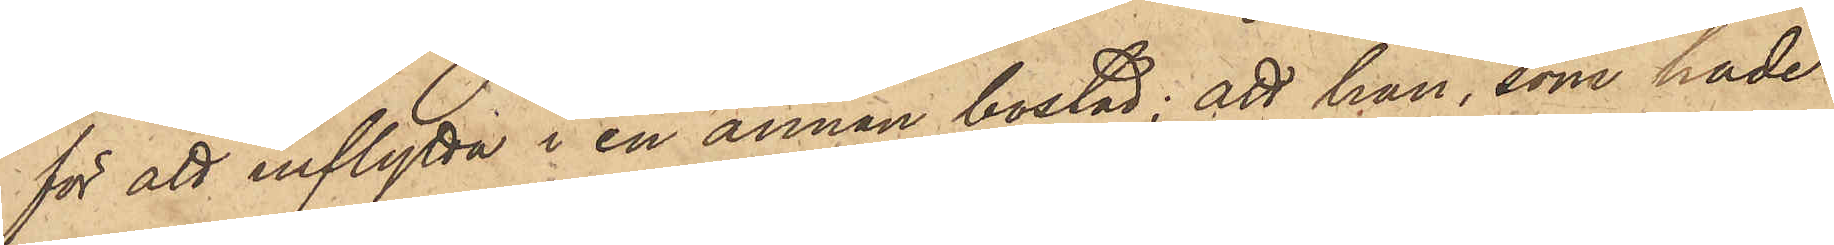för att inflytta i en annan bostad; att han, som hade
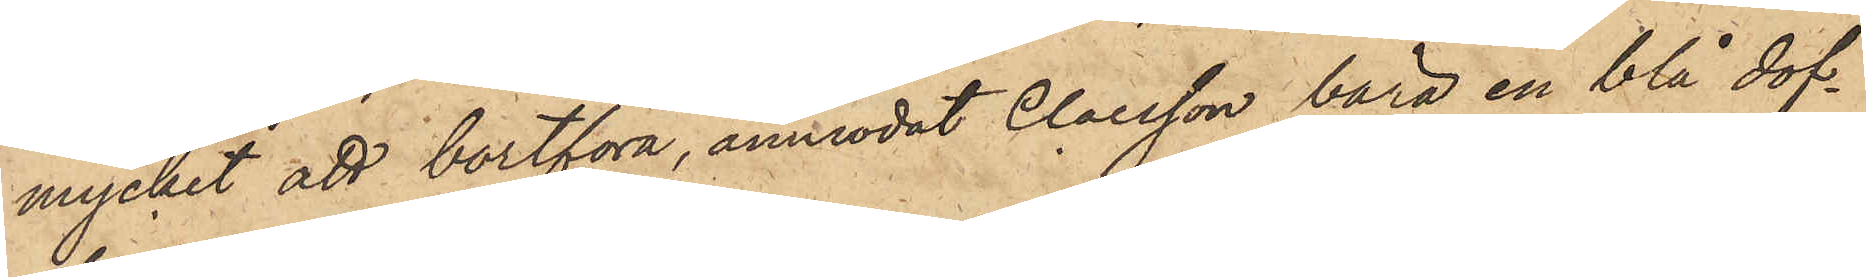mycket att bortföra, anmodat Claesson bära en blå dof¬
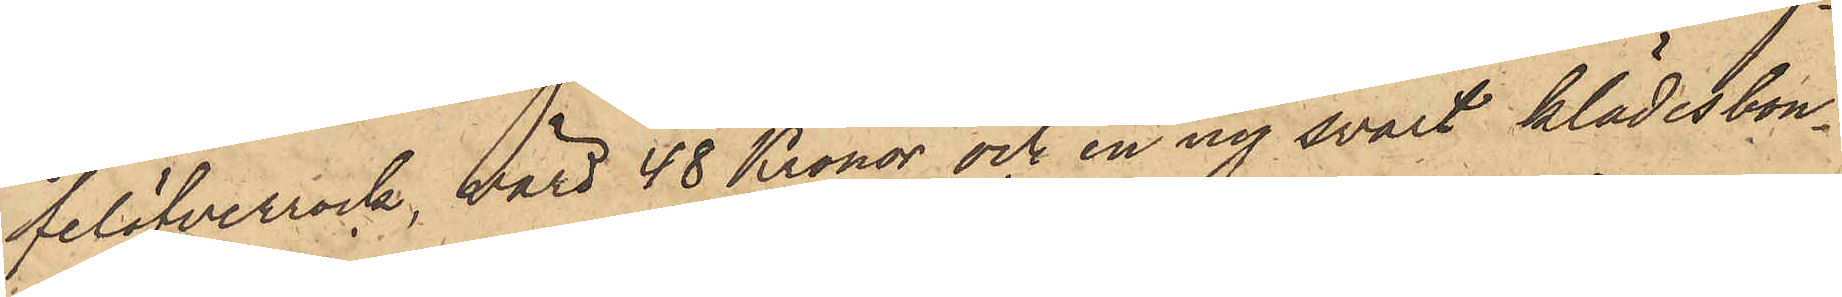felöfverrock, värd 48 Kronor och en ny svart klädesbon¬
